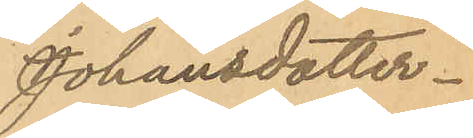Johansdotter
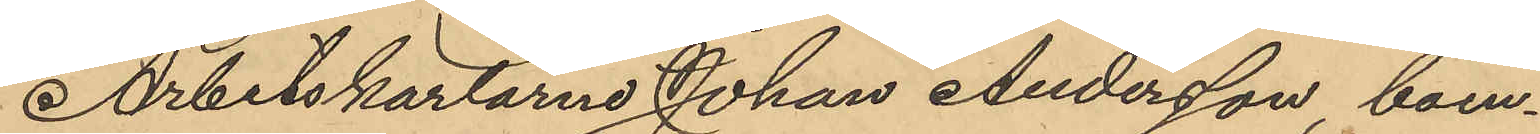Arbetskarlarne Johan Andersson, boen¬
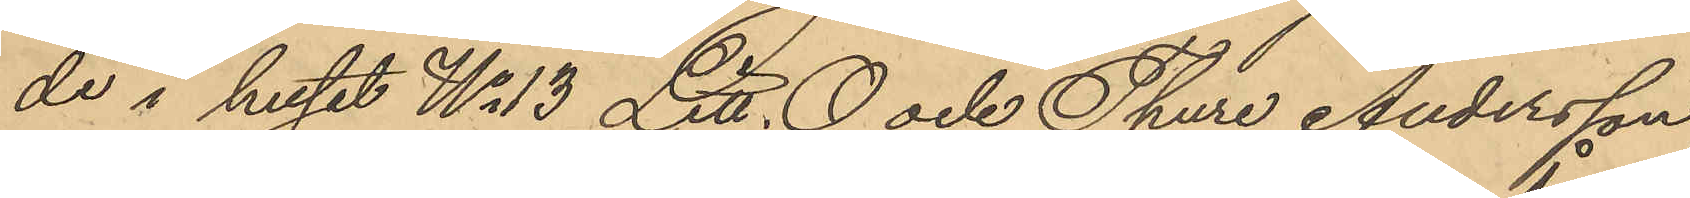de i huset No 13 Litt. O och Thure Andersson,
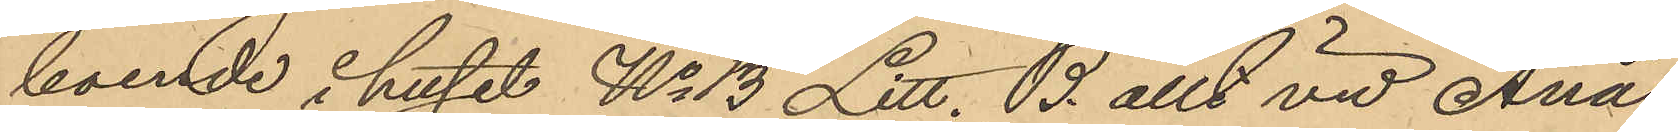boende i huset No 13 Litt. B. allt vid Ånäs¬
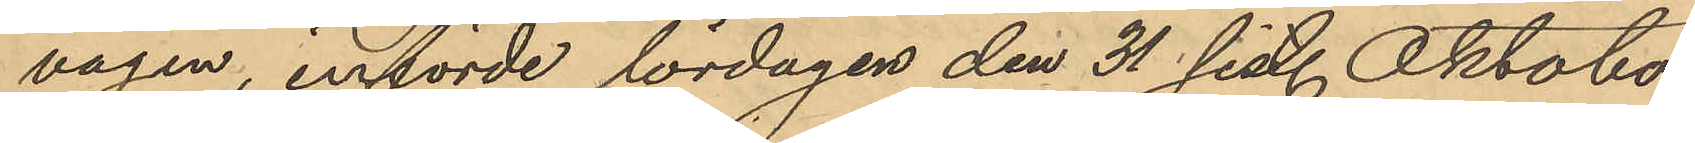vägen, införde lördagen den 31 sist. Oktober
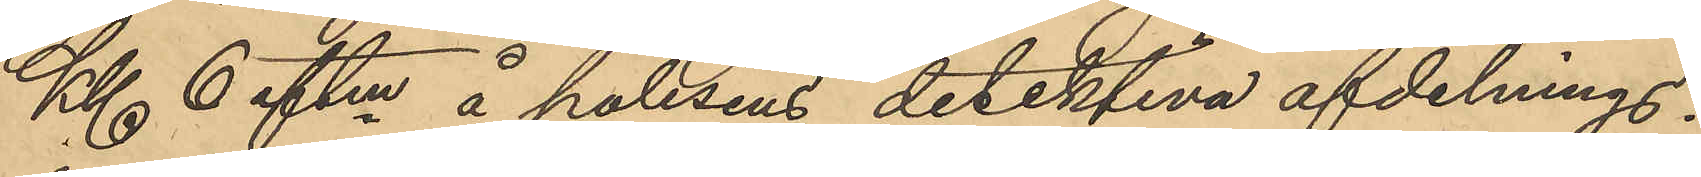Kl. 6 eftm å polisens detektiva afdelnings¬
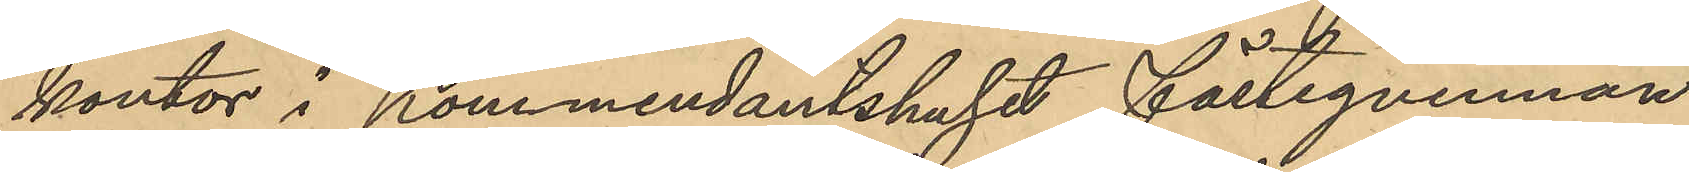kontor i Kommendantshuset fästeqvinnan
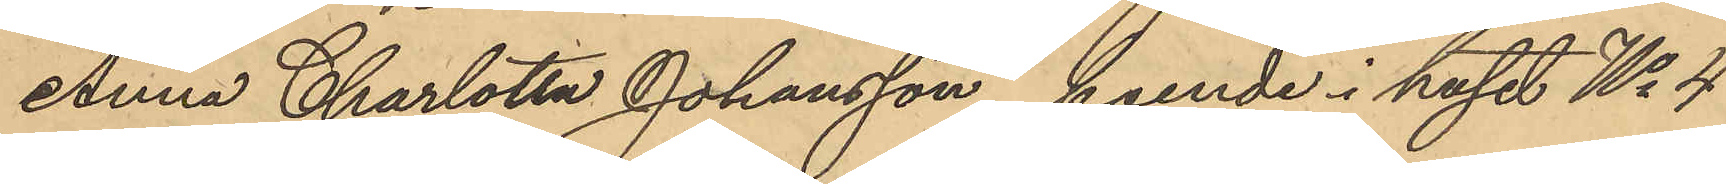Anna Charlotta Johansson, boende i huset No 4
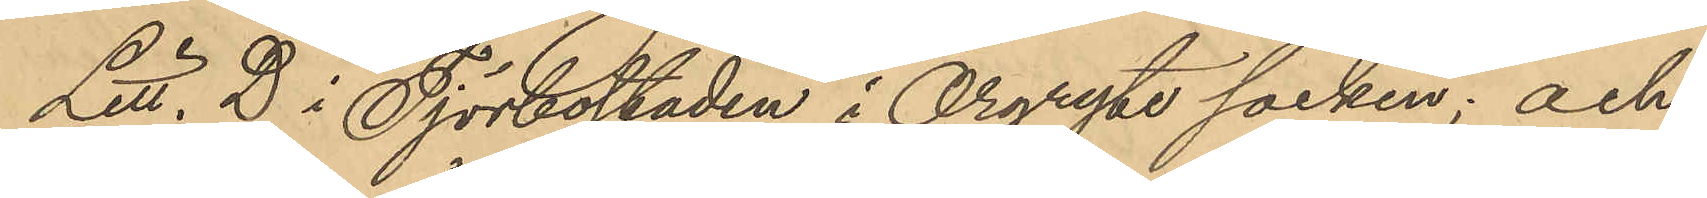Litt. D i Tjörbostaden i Örgryte socken; och
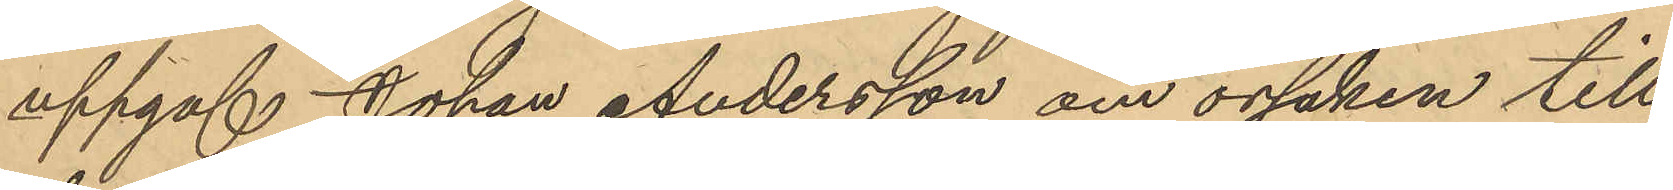uppgaf Johan Andersson om orsaken till
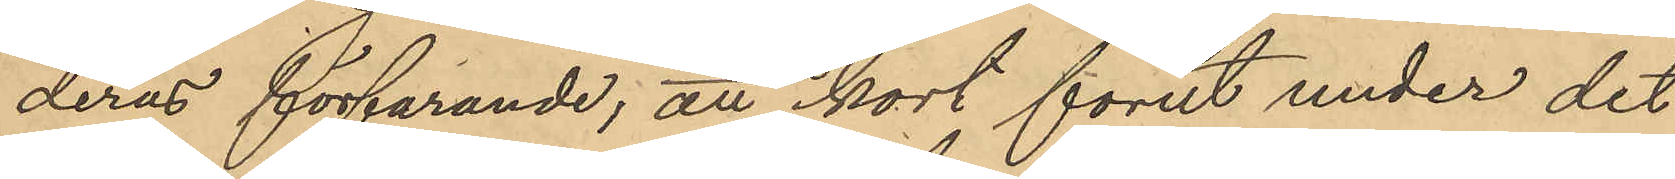deras förfarande; att kort förut under det
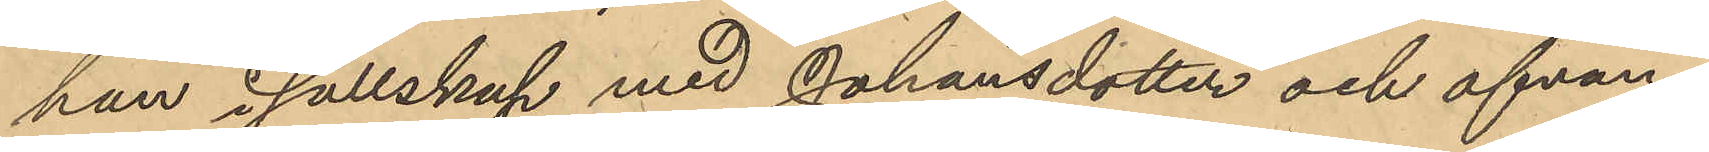han i sällskap med Johansdotter och ofvan¬
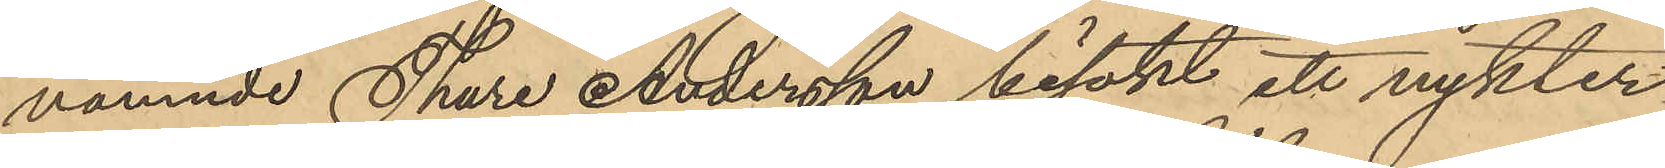nämnde Thure Andersson besökt ett nykter¬
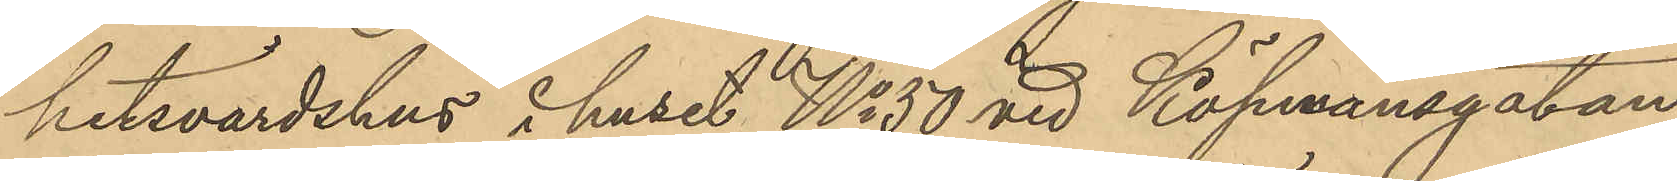hetsvärdshus i huset No 50 vid Köpmansgatan
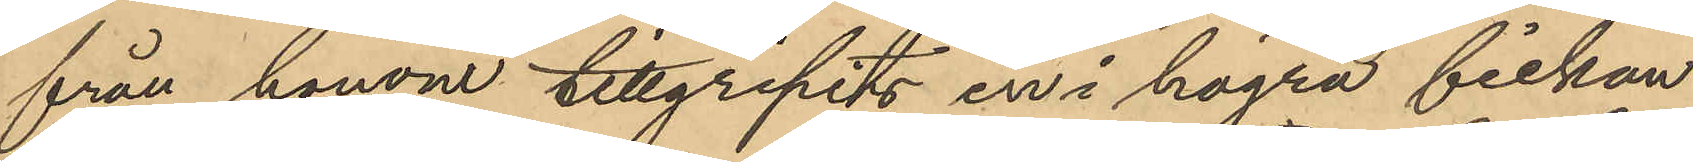från honom tillgripits en i högra fickan
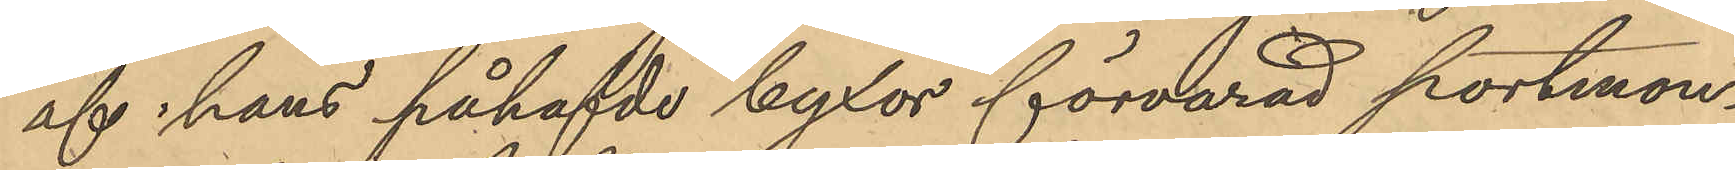af hans påhafvde byxor förvarad portmon¬
